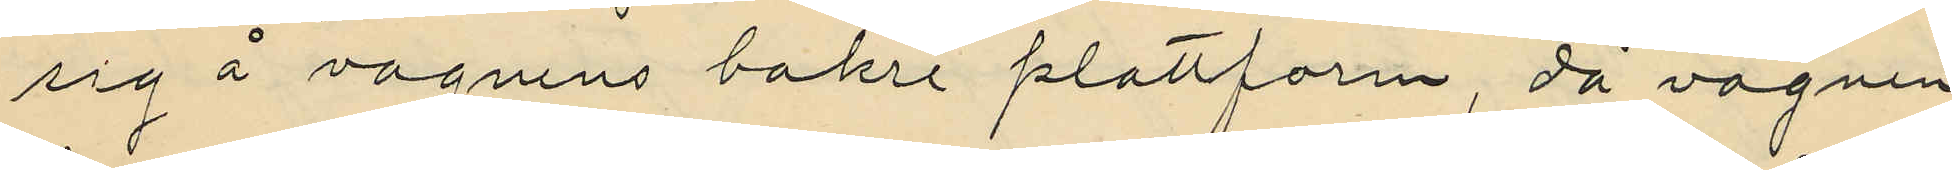sig å vagnens bakre plattform, då vagnen
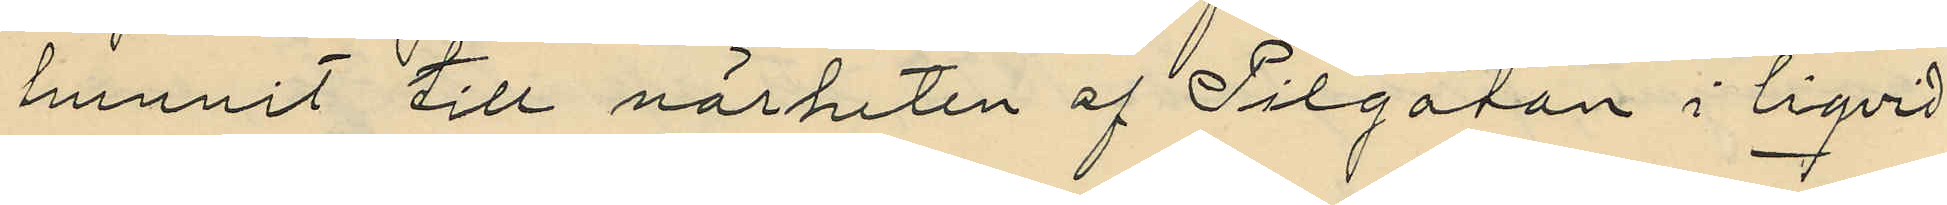hunnit till närheten af Pilgatan i liqvid
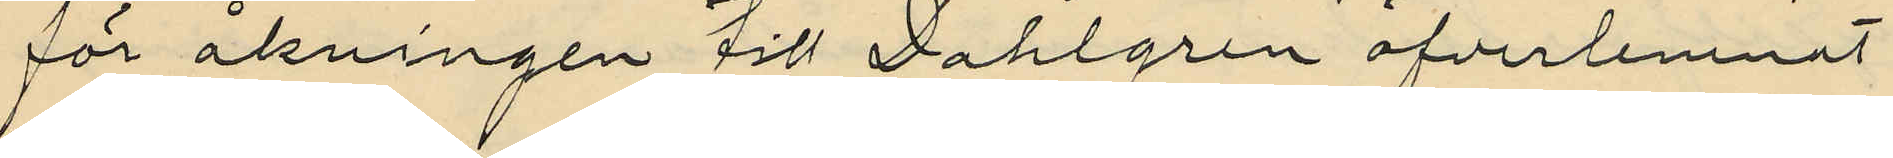för åkningen till Dahlgren öfverlemnat
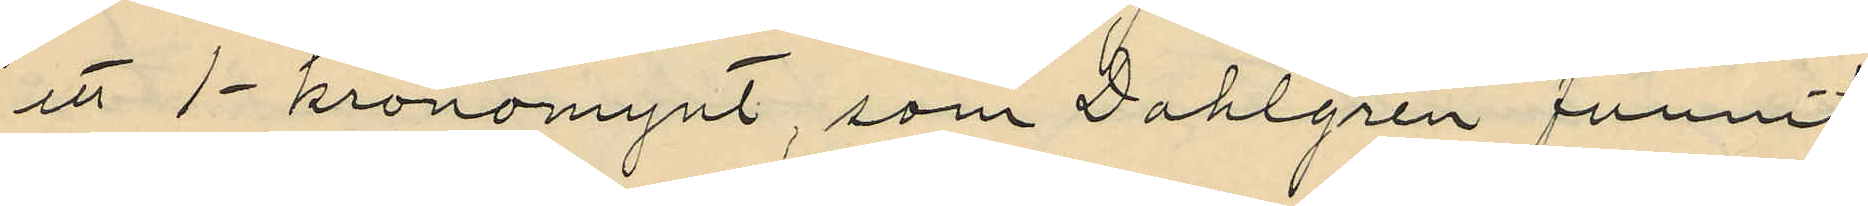ett 1-kronomynt, som Dahlgren funnit
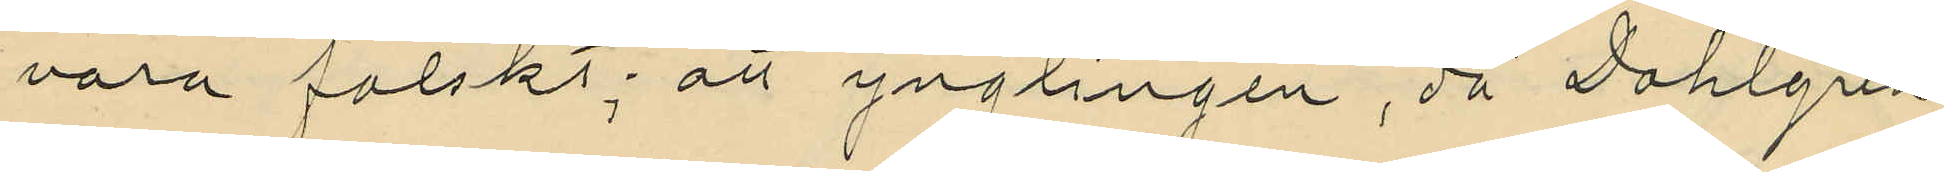vara falskt; att ynglingen, då Dahlgren
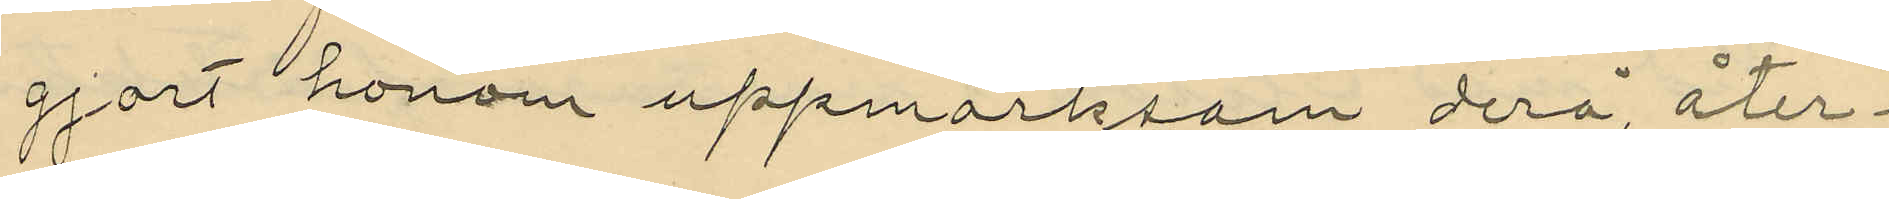gjort honom uppmärksom derå, åter¬
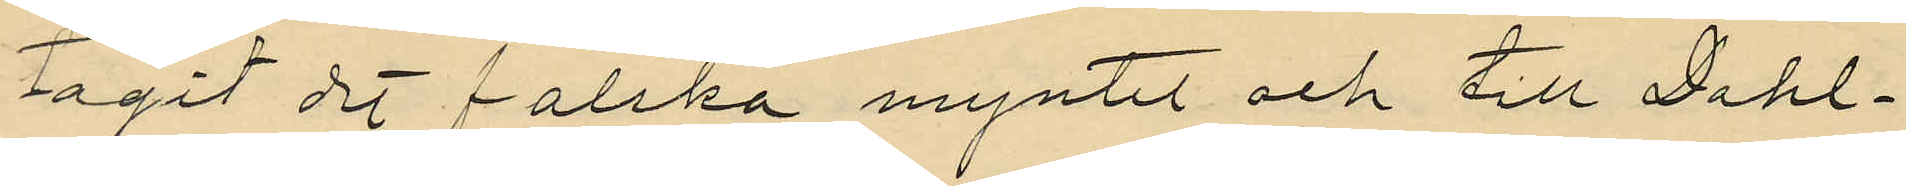tagit det falska myntet och till Dahl¬
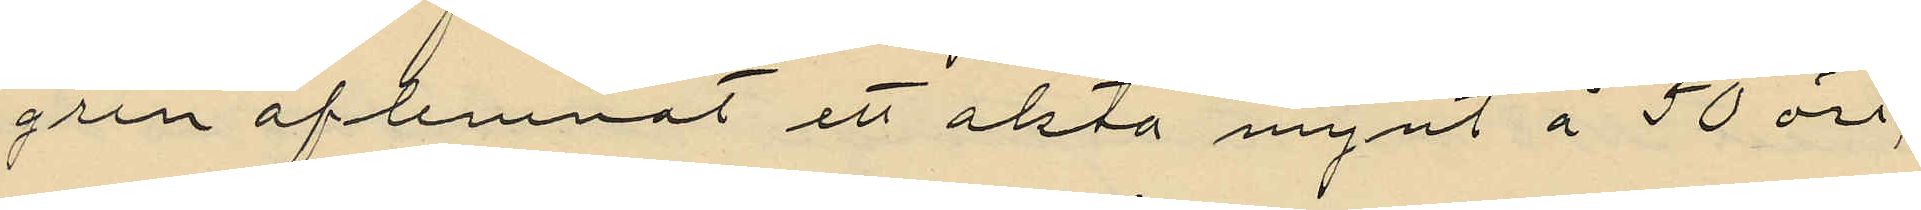gren aflemnat ett akta mynt å 50 öre;
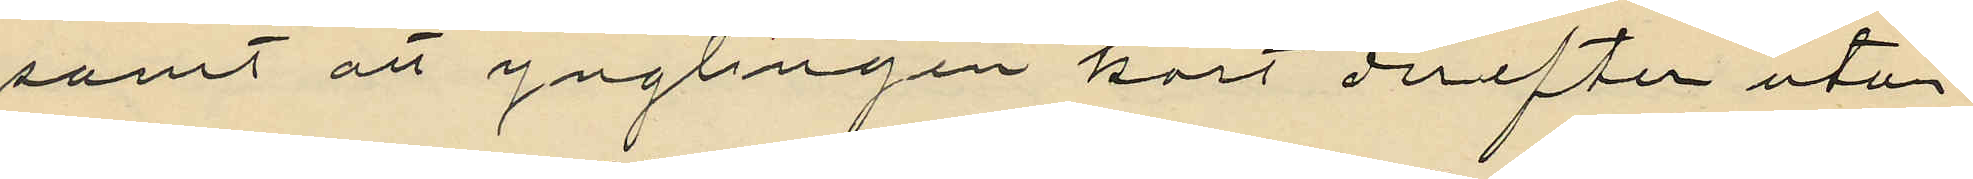samt att ynglingen kort derefter utan
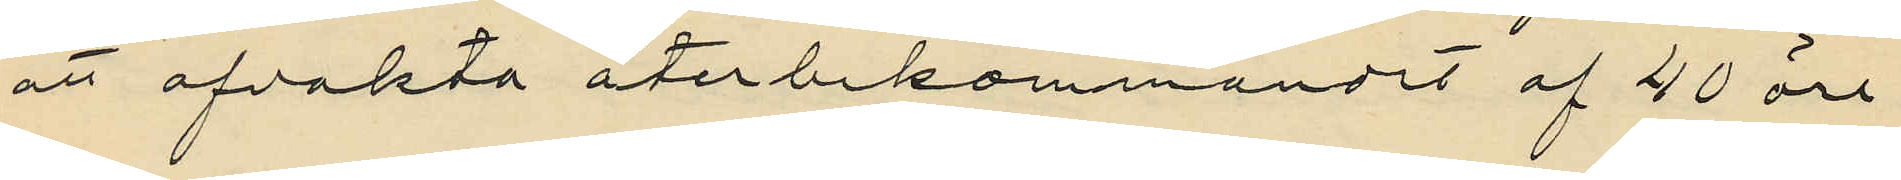att afvakta återbekommandet af 40 öre
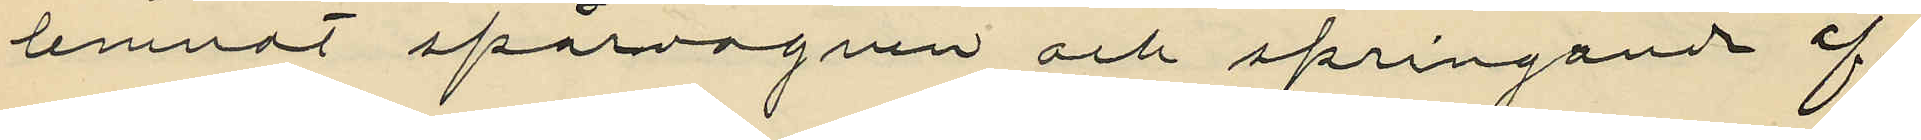lemnat spårvagnen och springande af¬
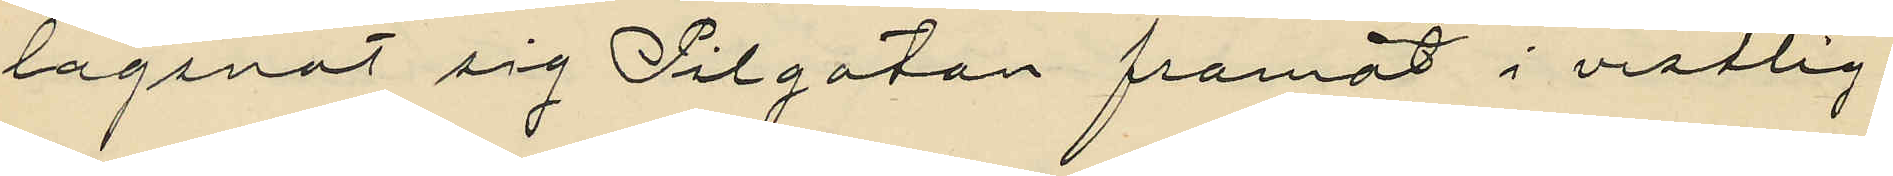lagsnat sig Pilgatan framåt i ostlig
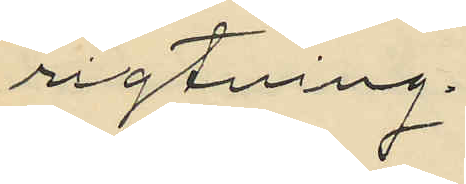rigtning.
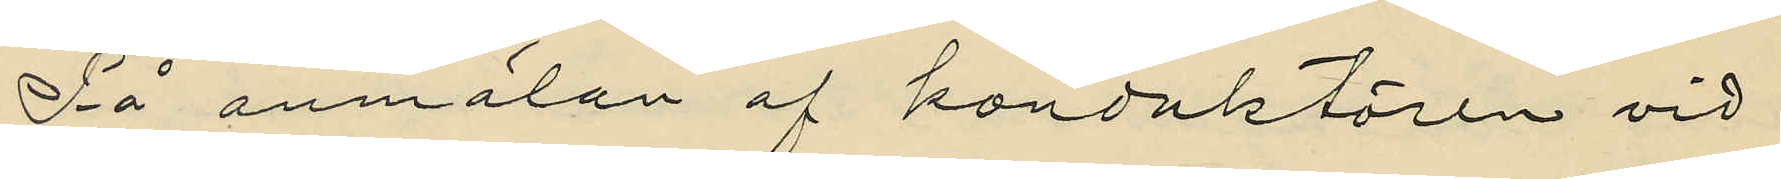På anmälan af konduktören vid
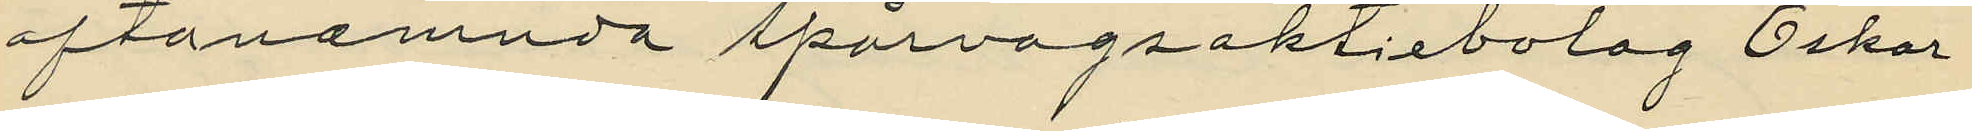oftanämnda spårvägsaktiebolag Oskar
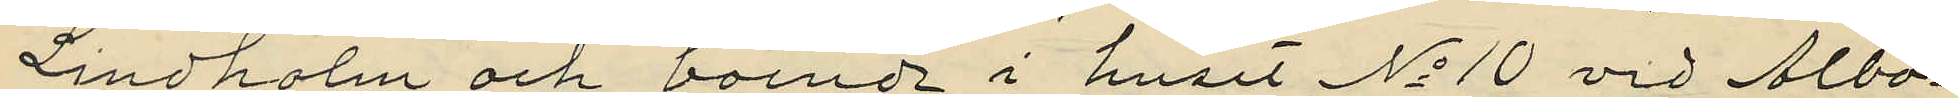Lindholm och boende i huset No 10 vid Albo¬
